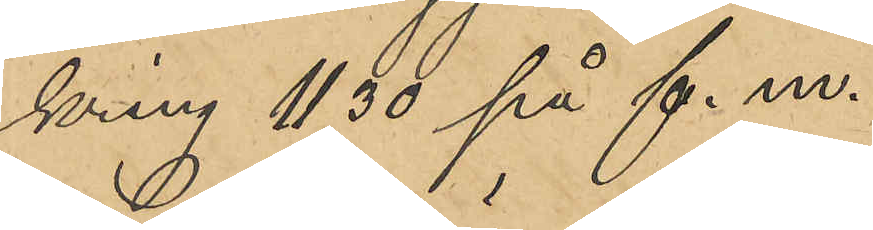kring 11,30 på f.m.
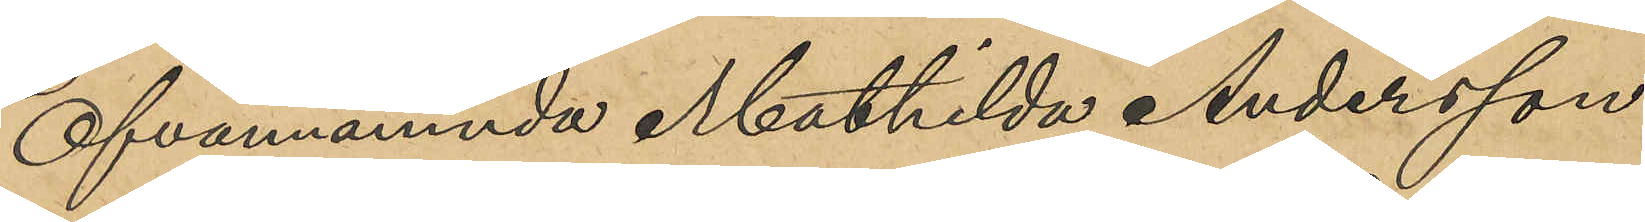Ofvannämnda Mathilda Andersson
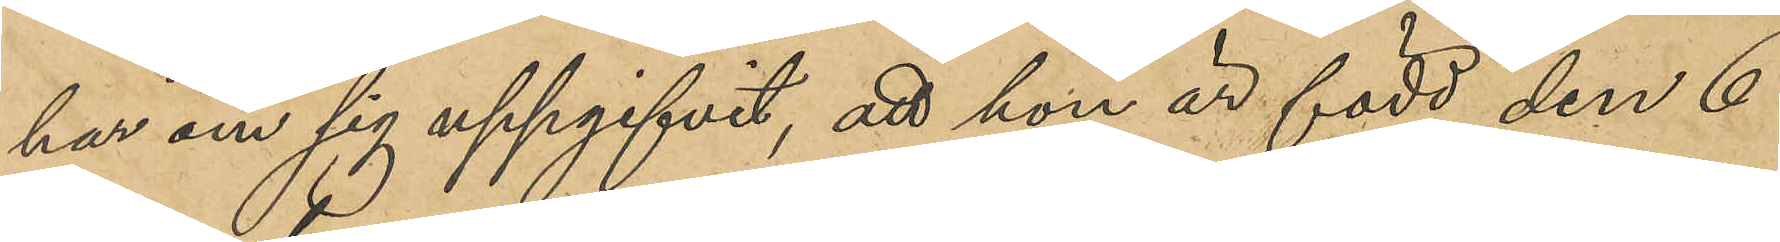har om sig uppgifvit, att hon är född den 6
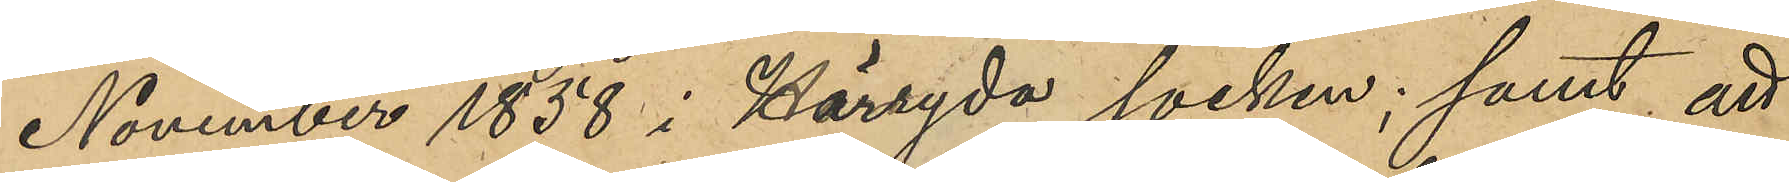November 1858 i Häryda socken; samt att
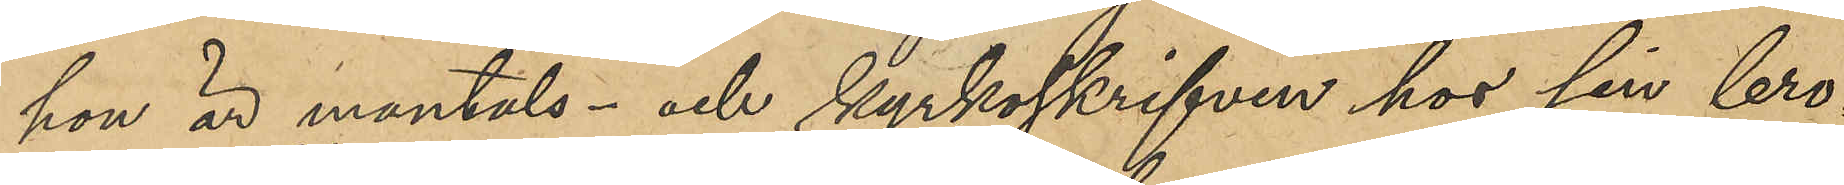hon är mantals- och kyrkoskrifven hos sin bro¬
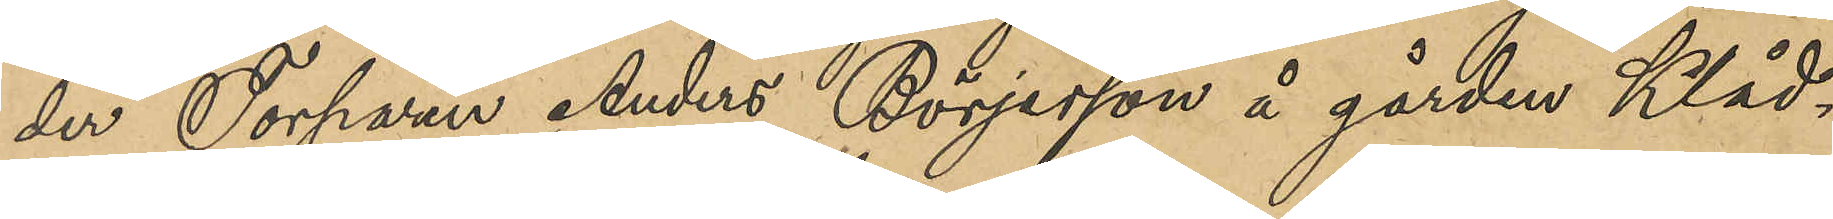der Torparen Anders Börjesson å gården Klåd¬
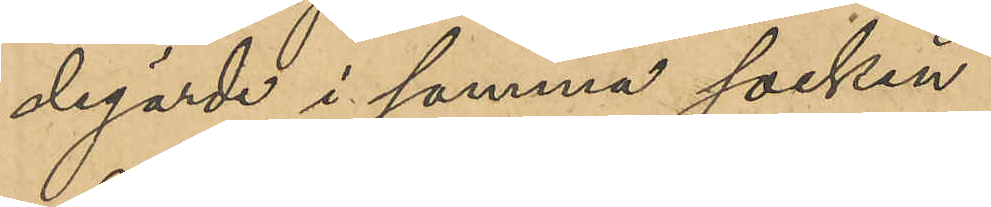degärde i samma socken.
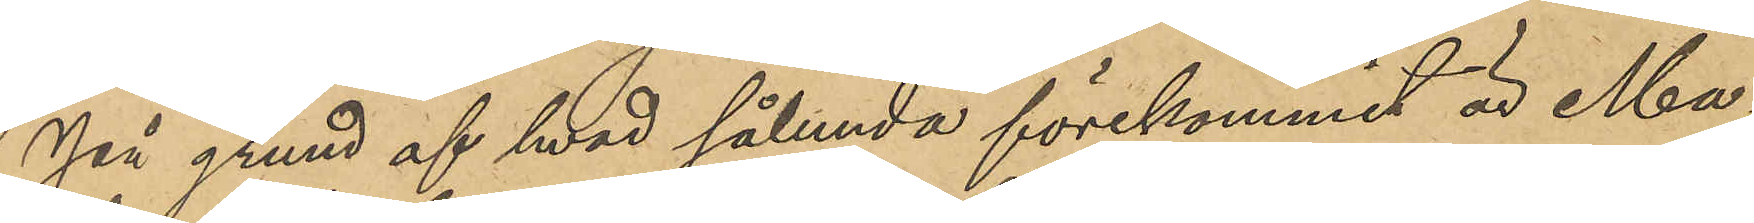På grund af hvad sålunda förekommit är Ma¬
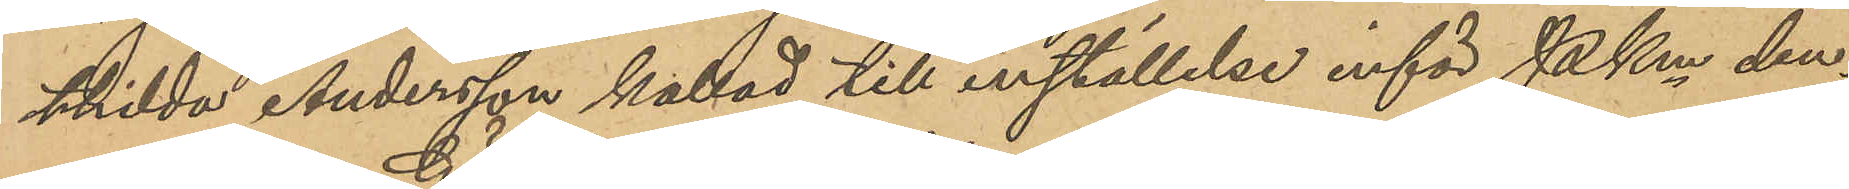thilda Andersson kallad till inställelse inför Pken den¬
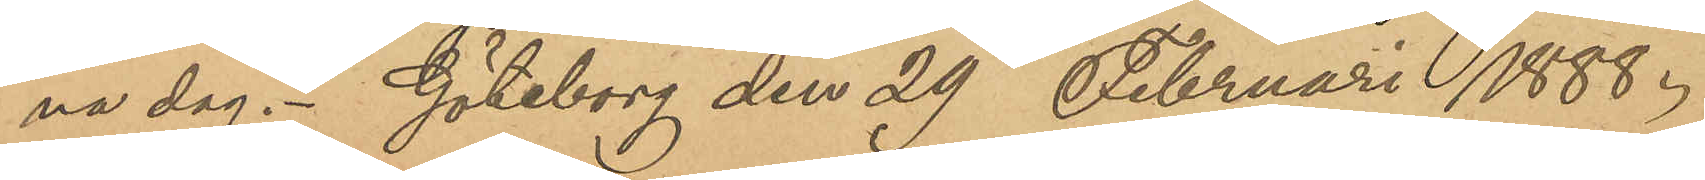na dag. Göteborg den 29 Februari 1888.
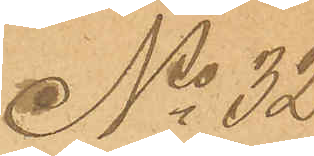No 32
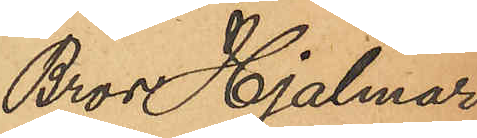Bror Hjalmar
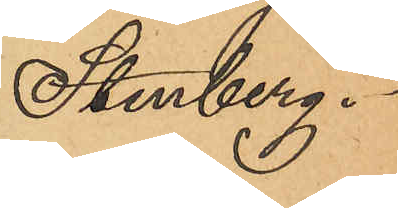Stenberg.
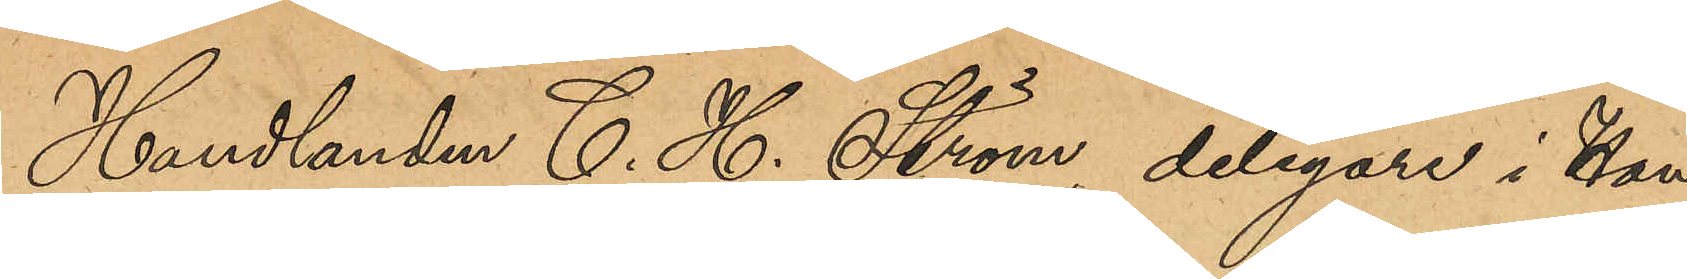Handlanden C. H. Ström, delegare i Han¬
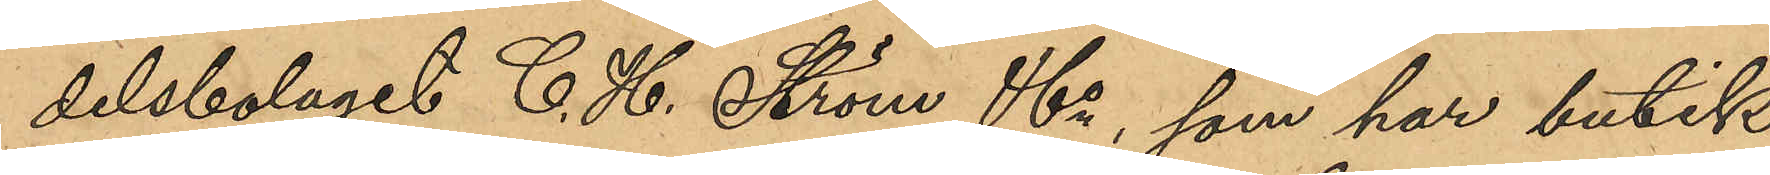delsbolaget C. H. Ström & Co, som har butik
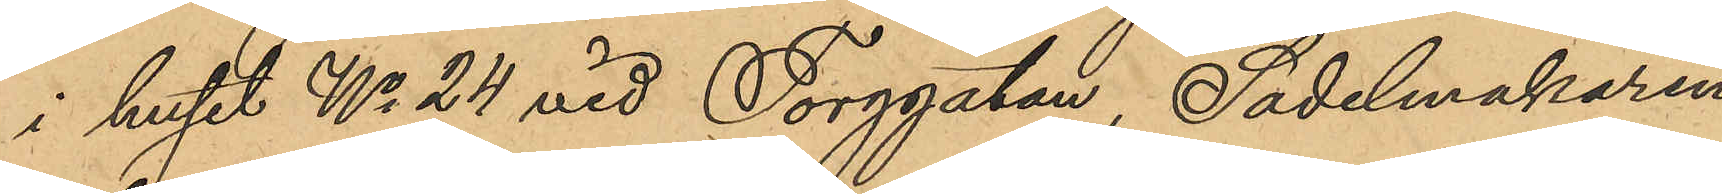i huset No 24 vid Torggatan, Sadelmakaren
